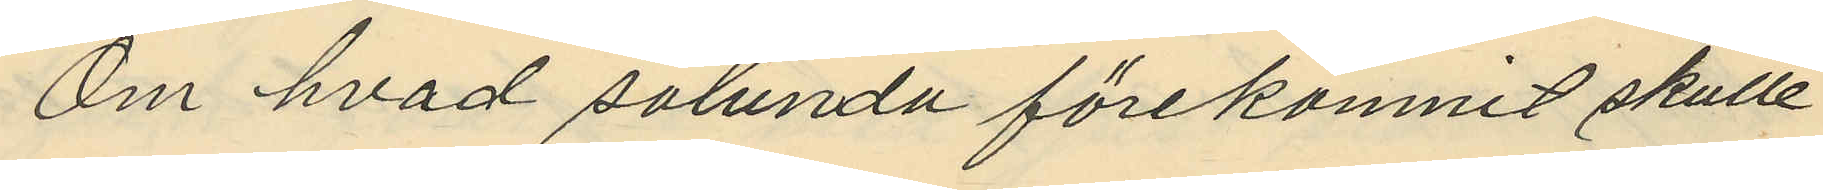Om hvad sålunda förekomnit skulle
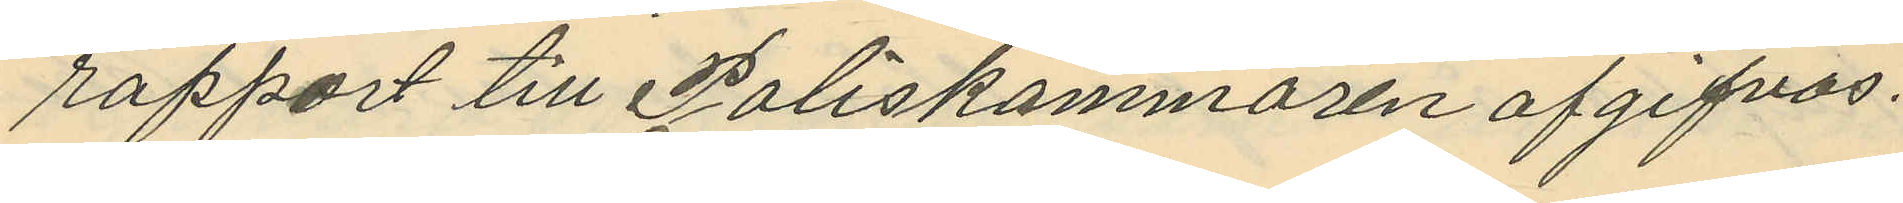rapport till Poliskammaren af gifvas.
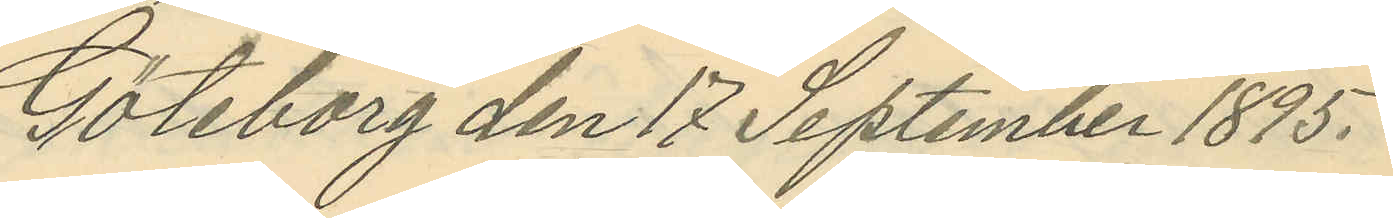Göteborg den 17 September 1895.
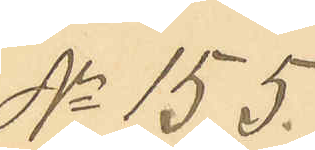No 155.
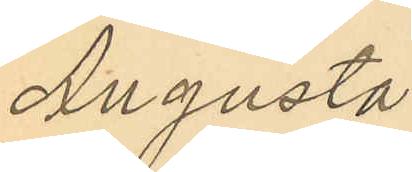Augusta
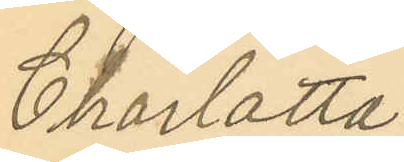Charlotta
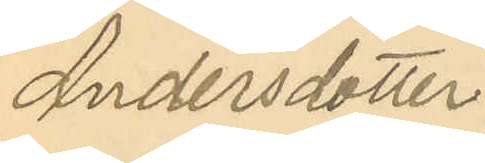Andersdotter
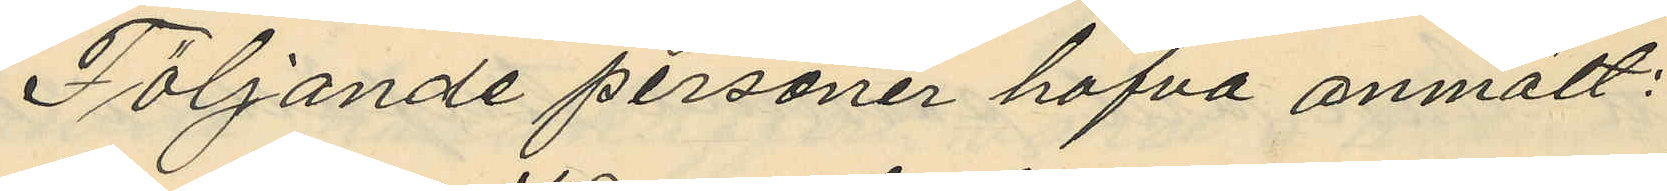Följande personer hafva anmält:
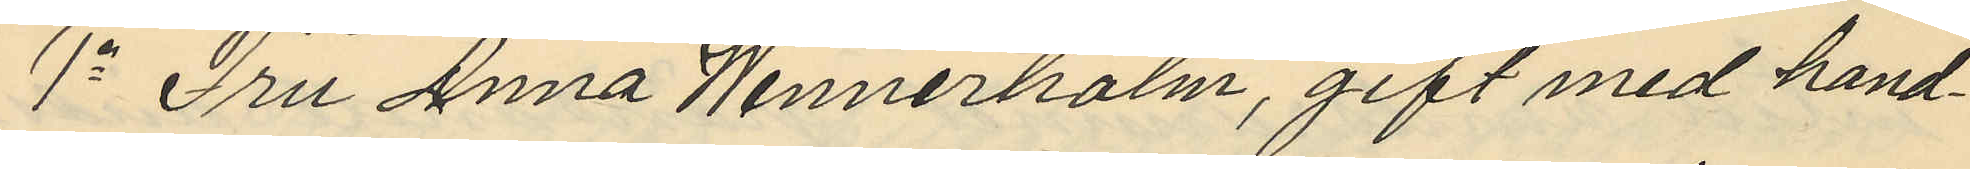1o Fru Anna Wennerholm, gift med hand¬
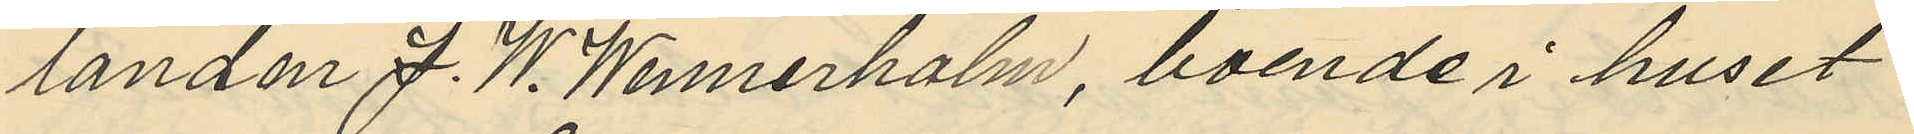landen J. W. Wennerholm, boende i huset
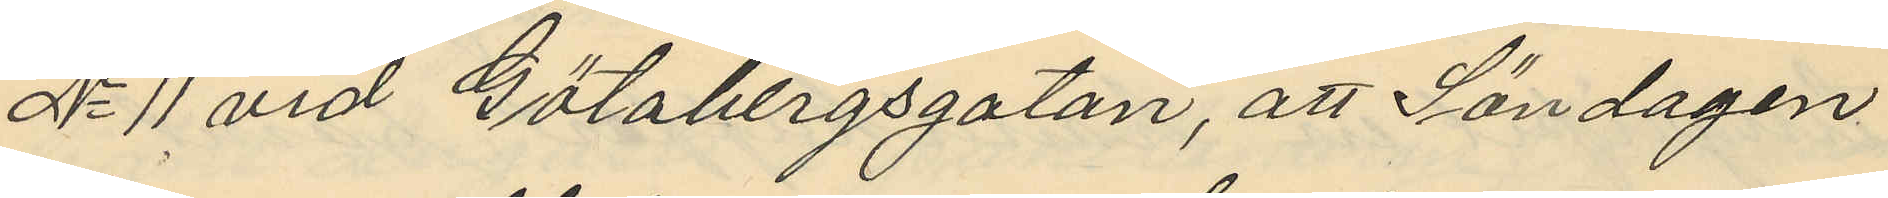No 11 vid Götabergsgatan, att Söndagen
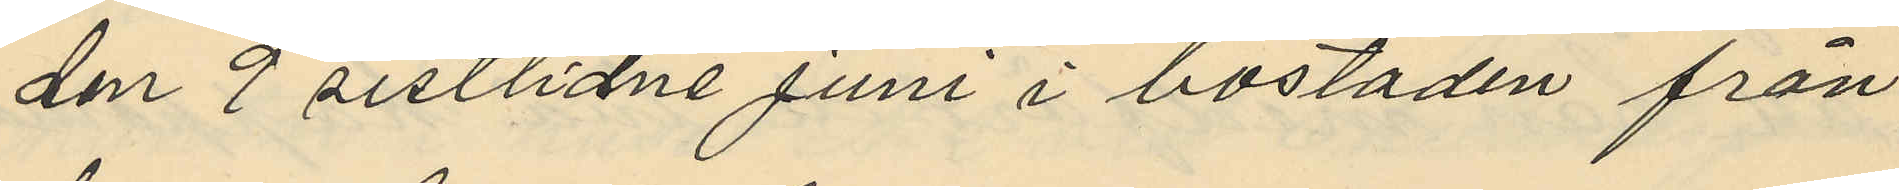den 9 sistlidne Juni i bostaden från
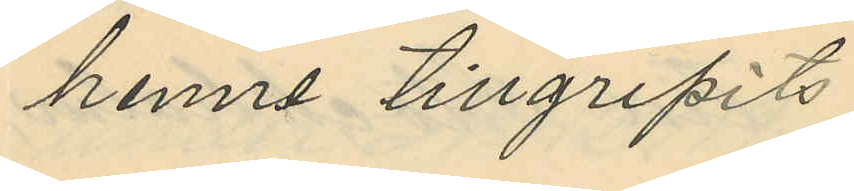henne tillgripits
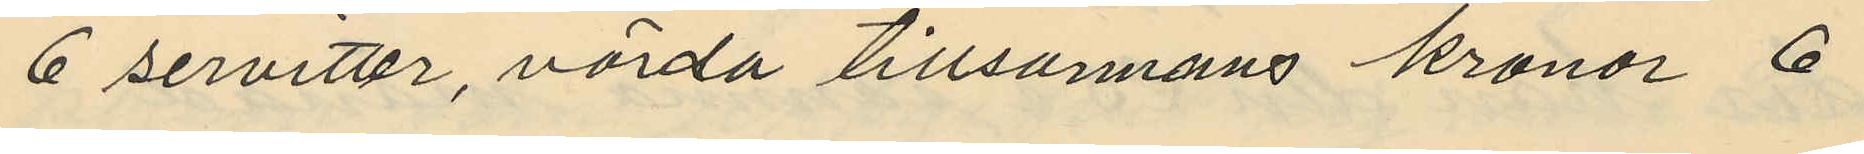6 servitter, värda tillsannans kronor 6
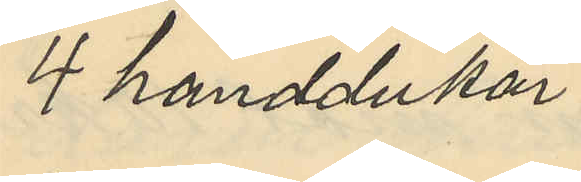4 handdukar
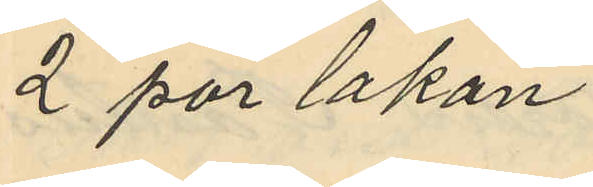2 par lakan
